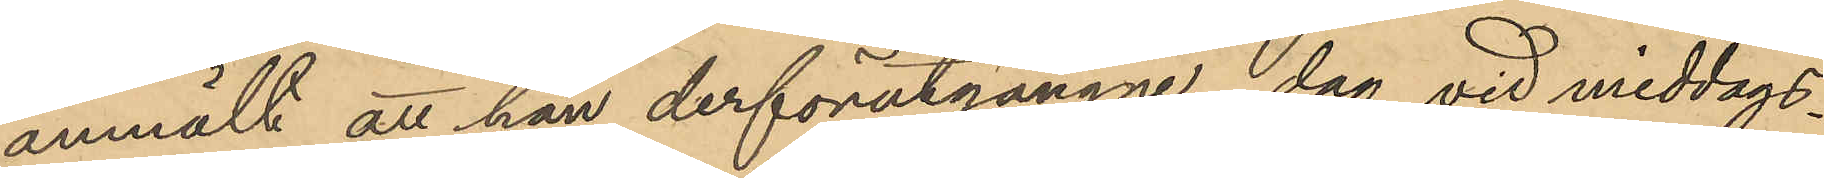anmält att han derförutgångne dag vid middags¬
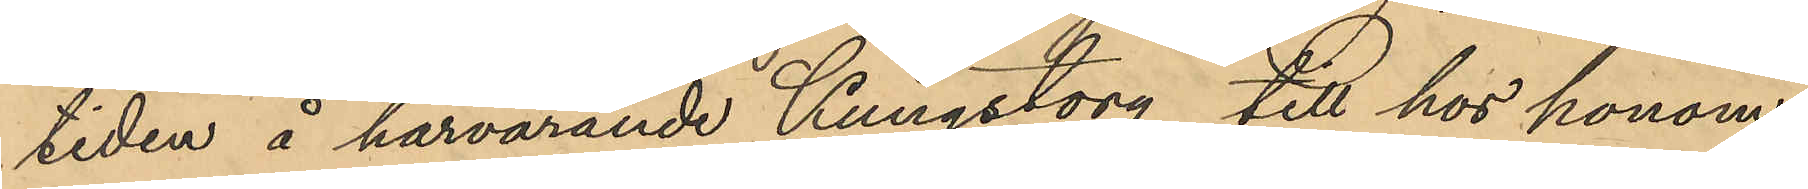tiden å härvarande Kungstorg till hos honom
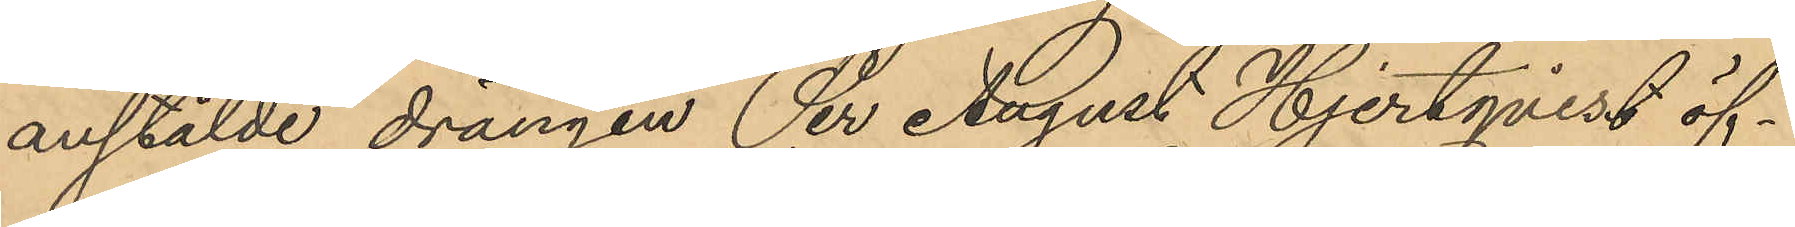anstälde drängen Per August Hjertqvist öf¬
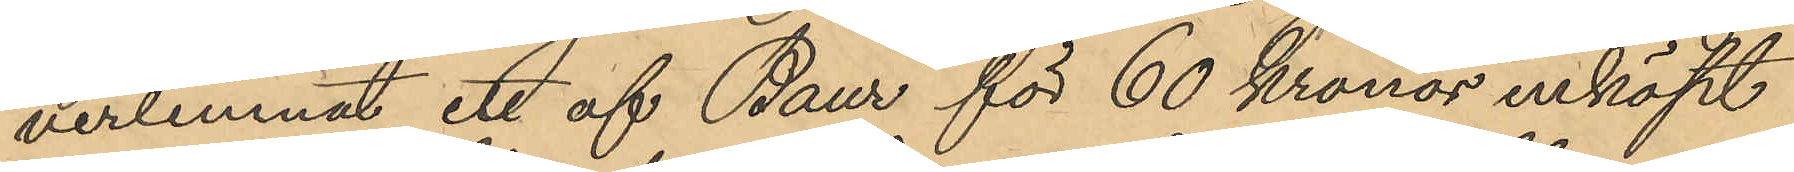verlemnat ett af Baur för 60 Kronor inköpt
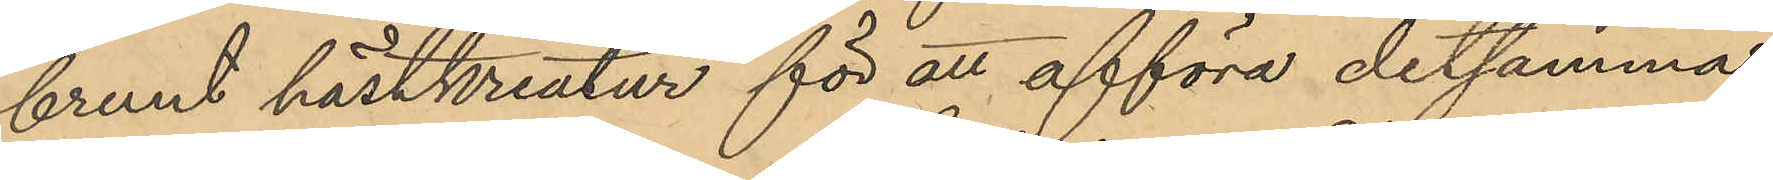brunt hästkreatur för att afföra detsamma
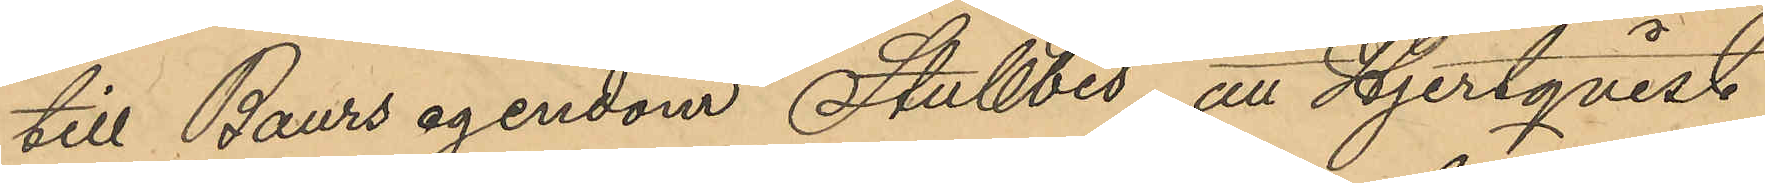till Baurs agendom Stubbis, att Hjertqvist
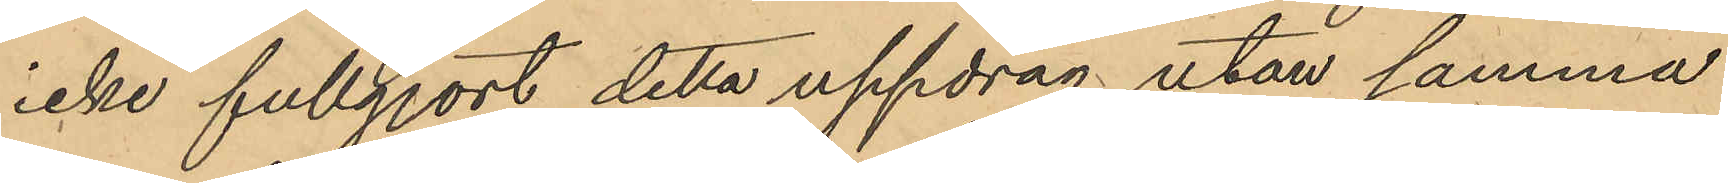icke fullgjort detta uppdrag utan samma
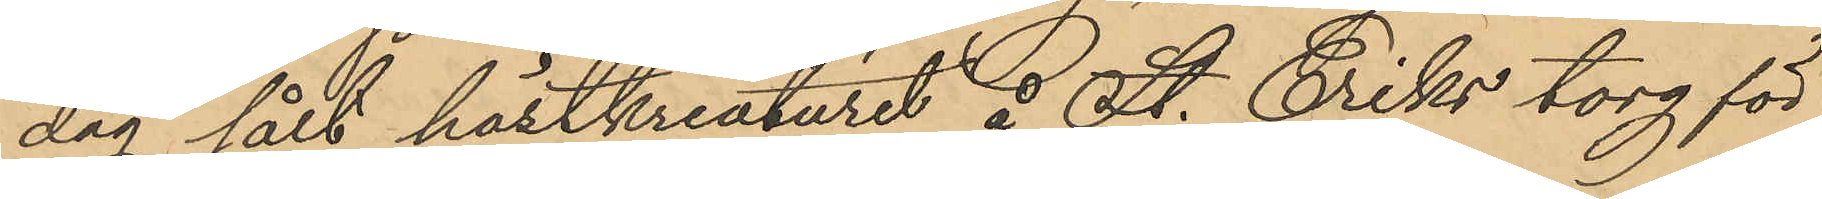dag sålt hästkreaturet å St. Eriks torg för
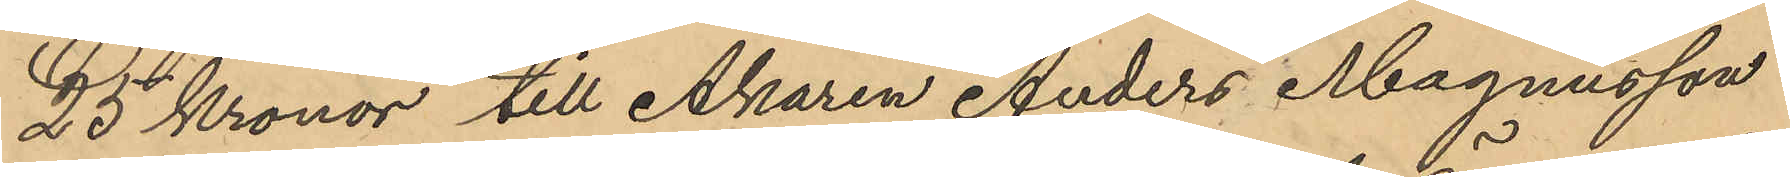25 Kronor till Åkaren Anders Magnusson
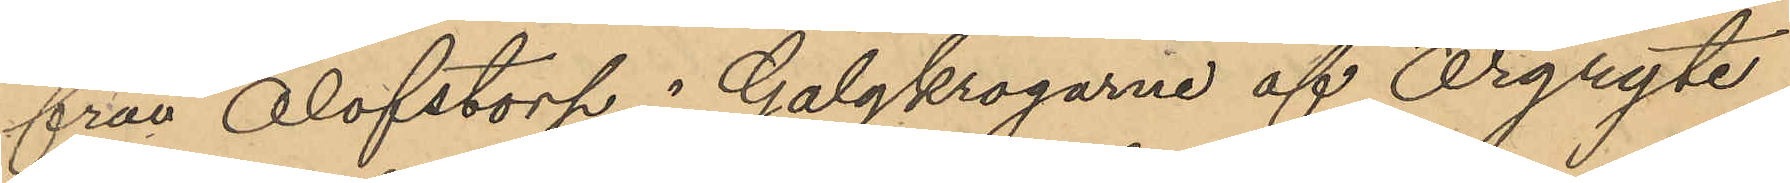från Olofstorp i Galgkrogarne af Örgryte
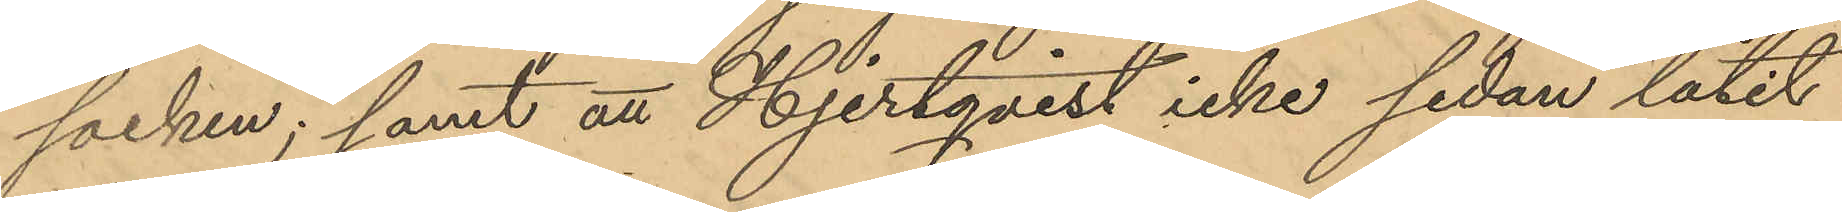socken; samt att Hjertqvist icke sedan låtit
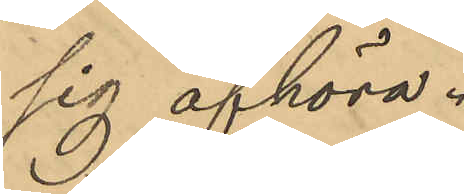sig afhöra.
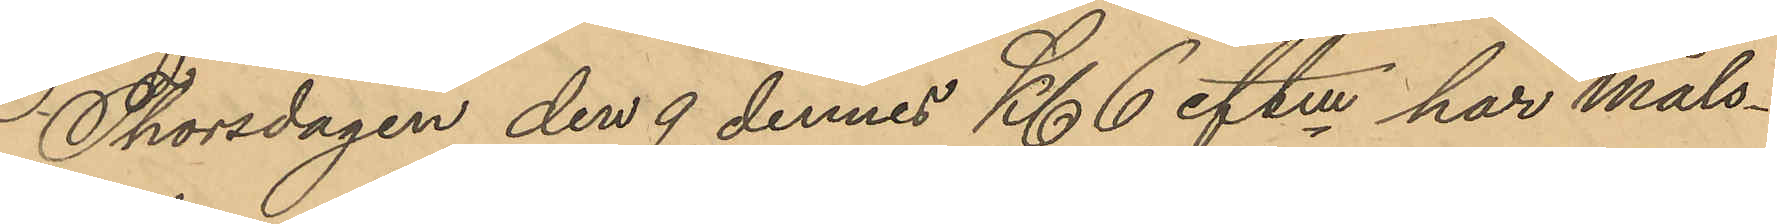Thorsdagen den 9 dennes Kl. 6 eftm har Måls¬
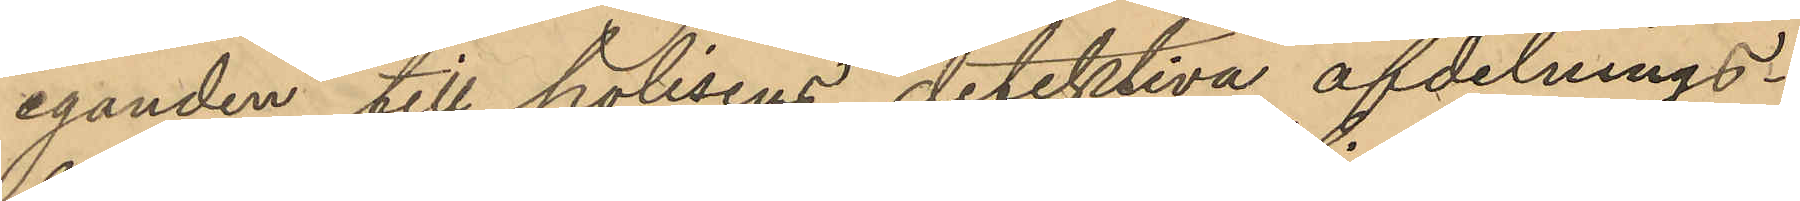eganden till polisens detektiva afdelnings¬
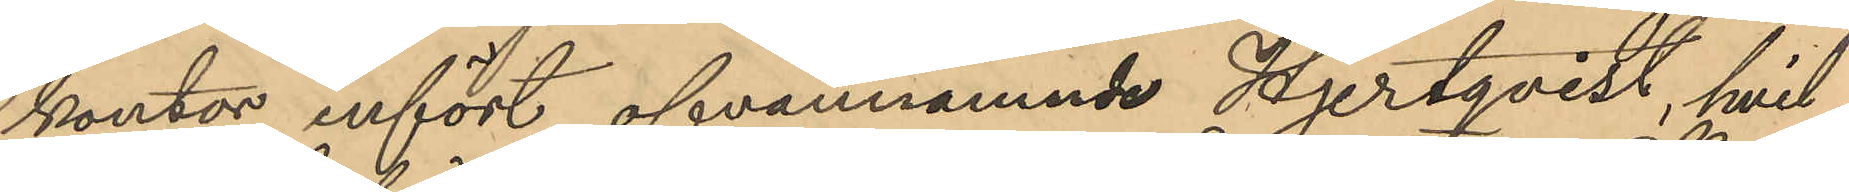kontor infört ofvannämnde Hjertqvist, hvil¬
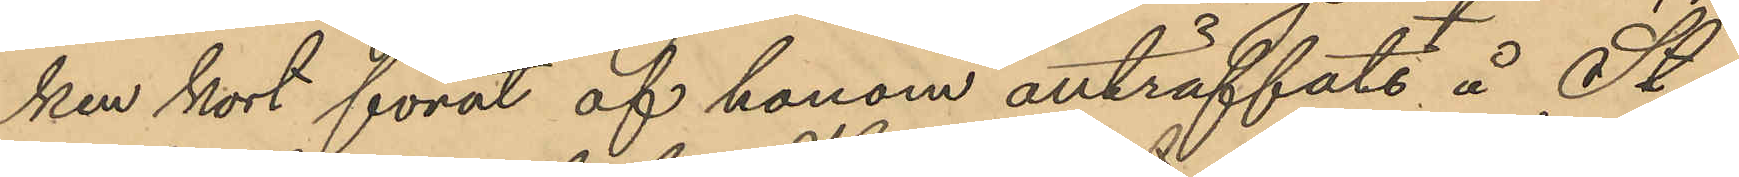ken kort förut af honom anträffats å St.
